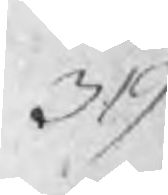319
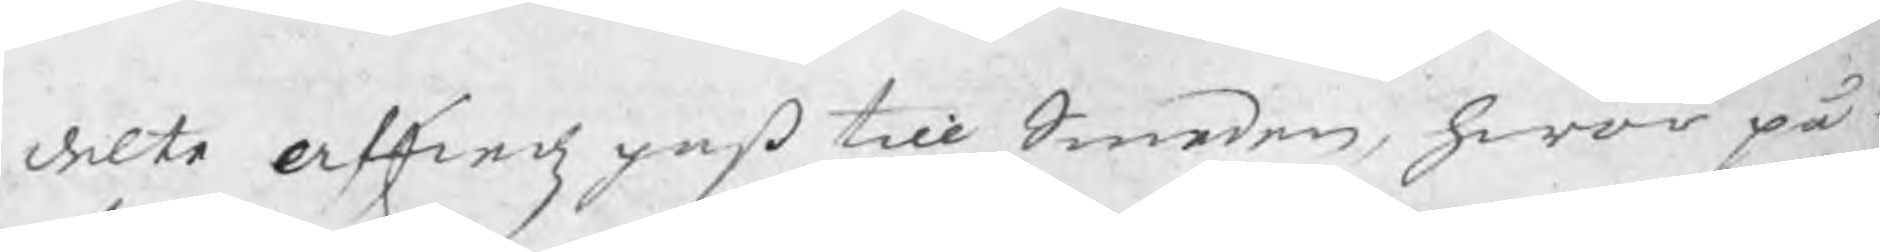delte afskedz paß till Smeden, hwar på
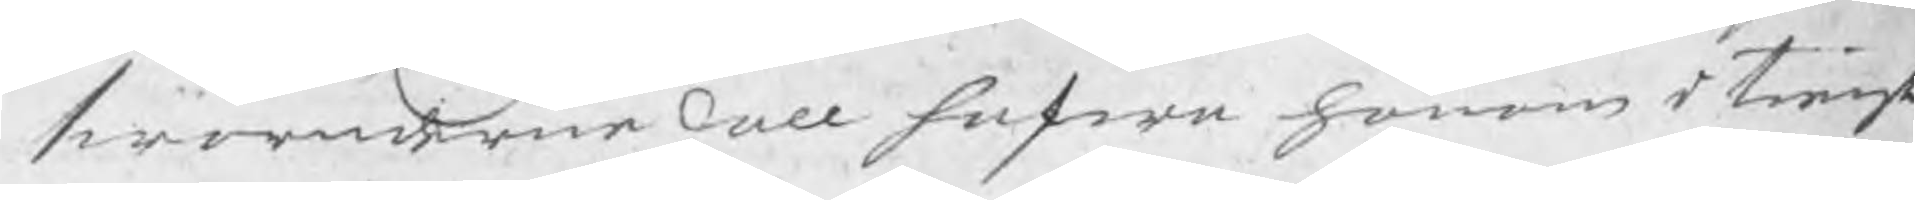swaranderne skall hafwa honom i tienst
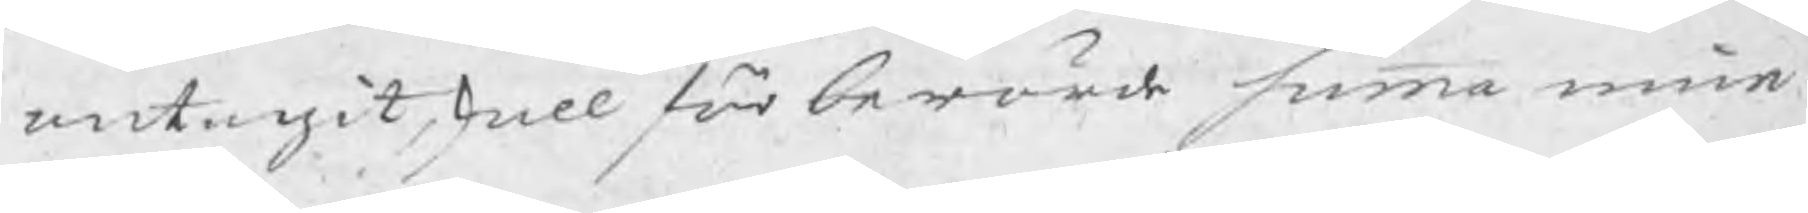antagit, skall för berörde summa inne-
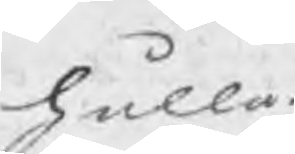hålla.
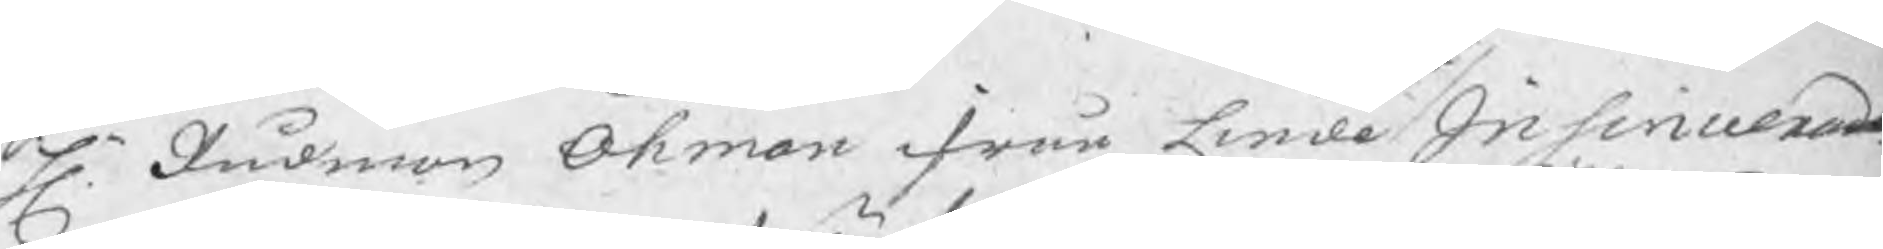Hr. Rådman Öhman ifrån Linde Insinuerade
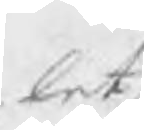let
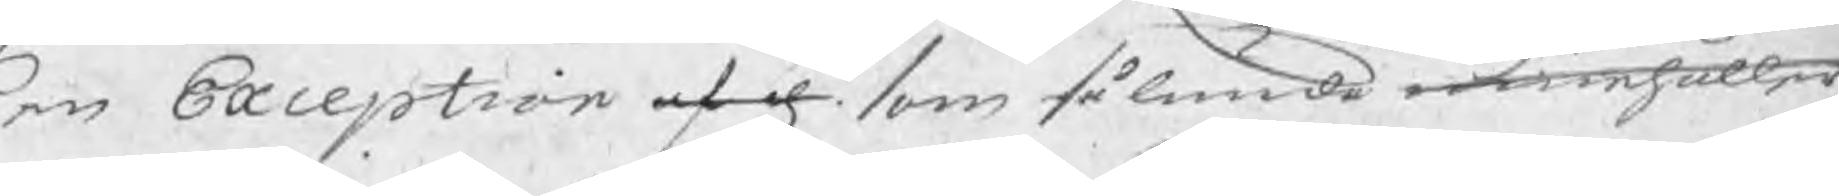en Exception af d. som sålunda innehåller
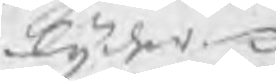lyder
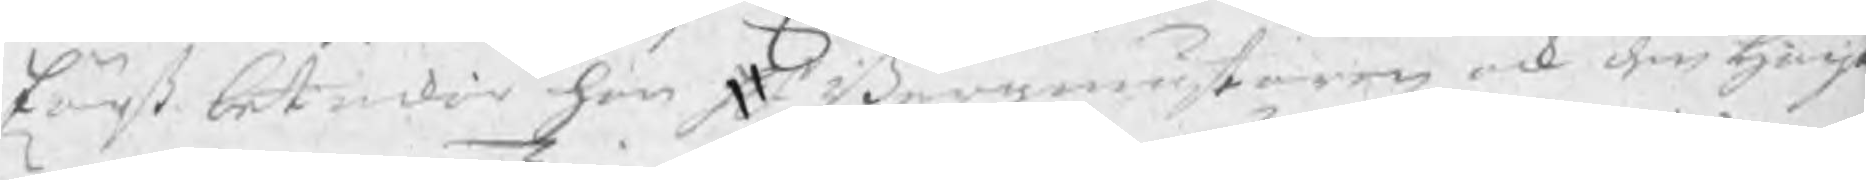Först betackar han Hr Bergmästaren ock den högt
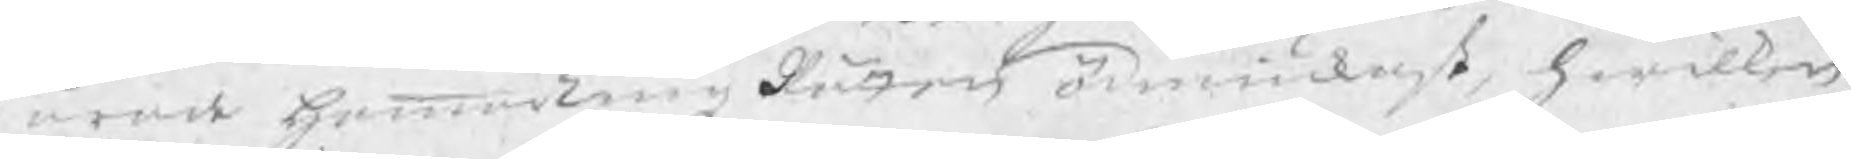ärade hammarTingzRätten ödmiukast, hwilken
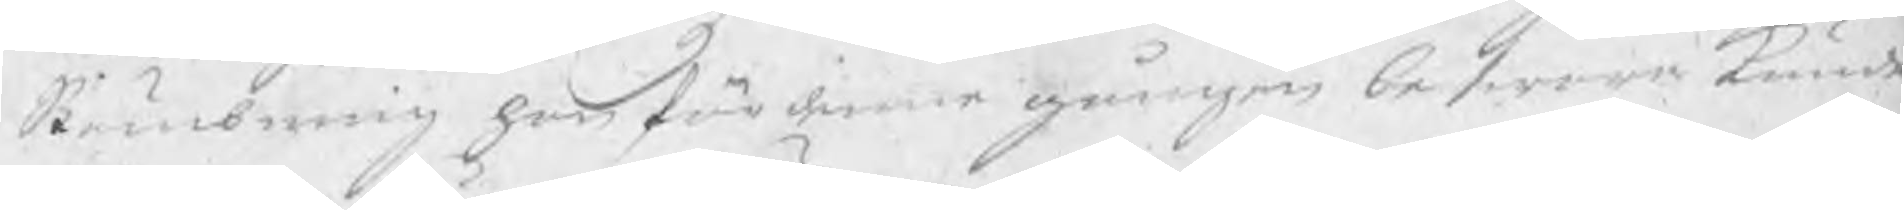Stämbning han för denne gången beswara kunde
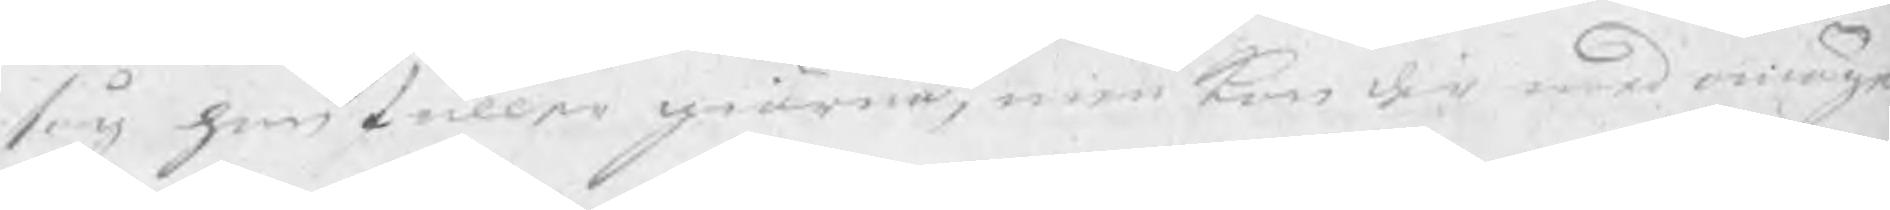såg han fuller giärna, men kan der med omöge
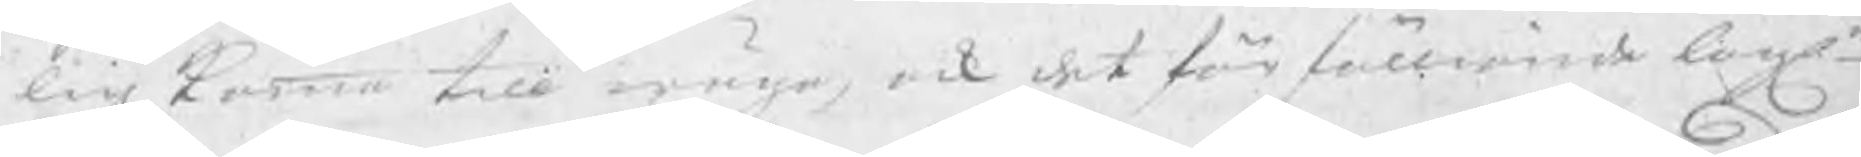lig komma till wäga, ock det för fölliande lagle
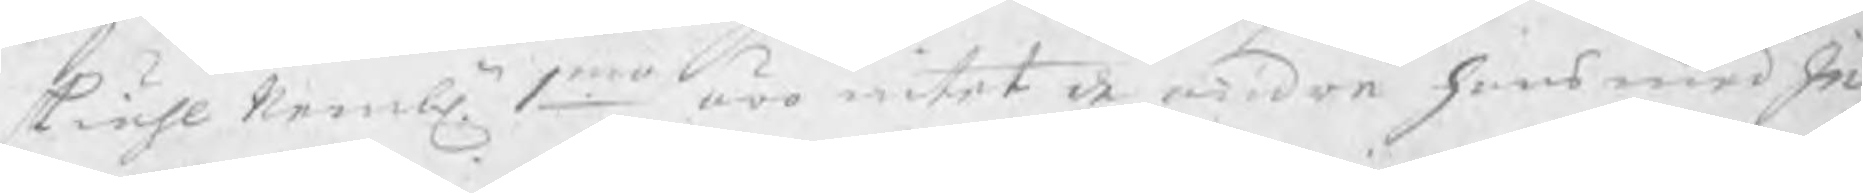skiähl nembln 1mo äro intet de andre hans medIn-
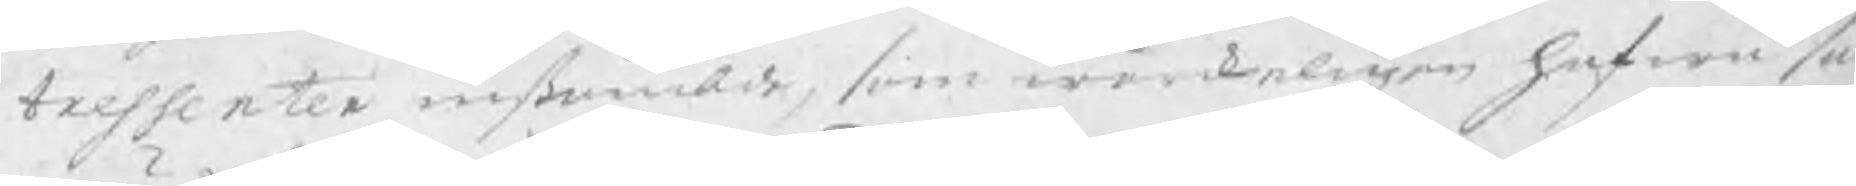tressenter instämbde, som wärkeligen hafwa så
